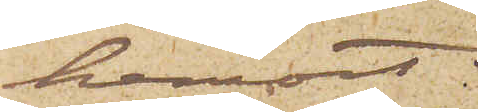hemort.
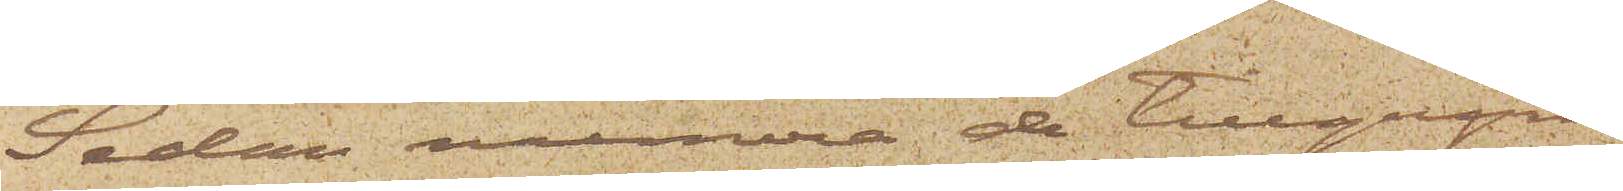Sedan numera de tillgripne
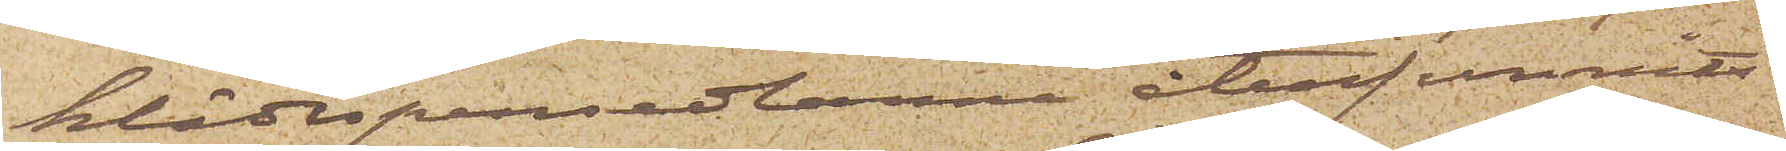klädespersedlarna återfunnits
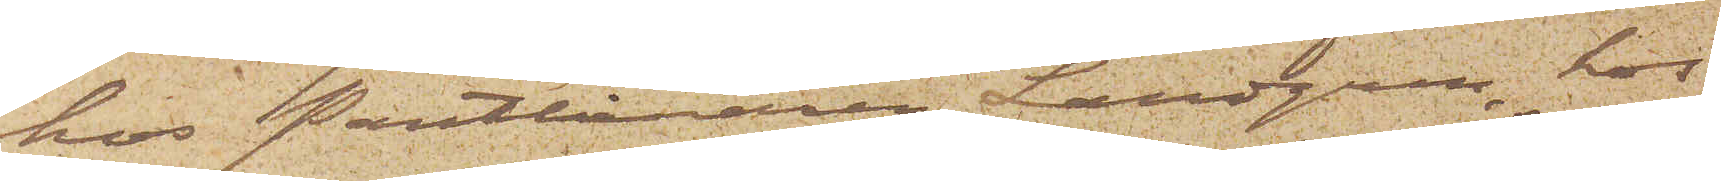hos Pantlånaren Landgren, hos
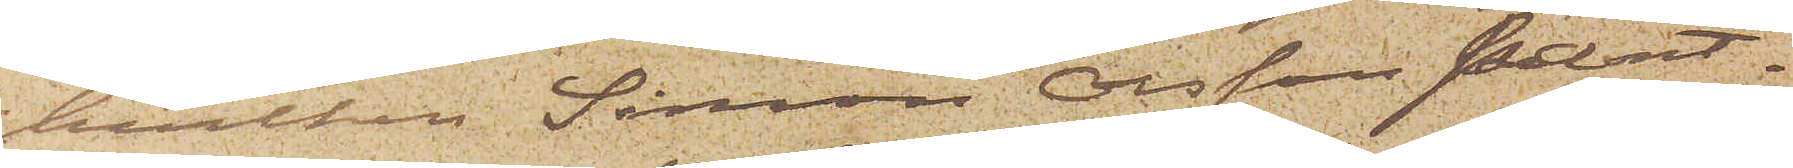hvilken Simon Olsson pant¬
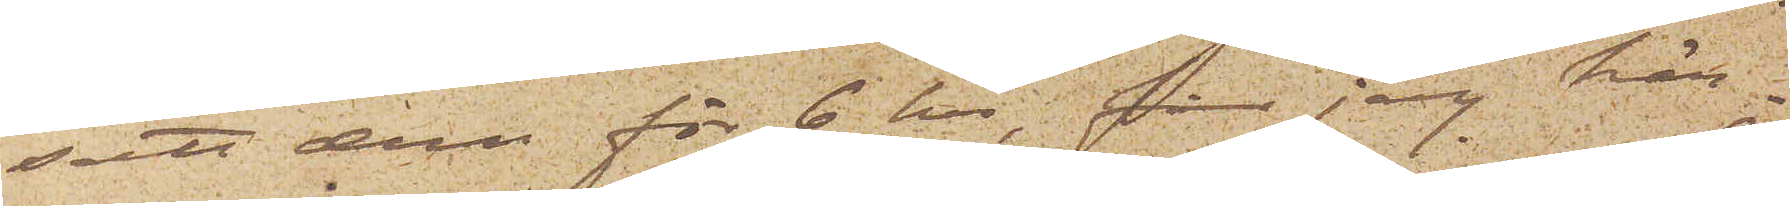satt dem för 6 kr, får jag här¬
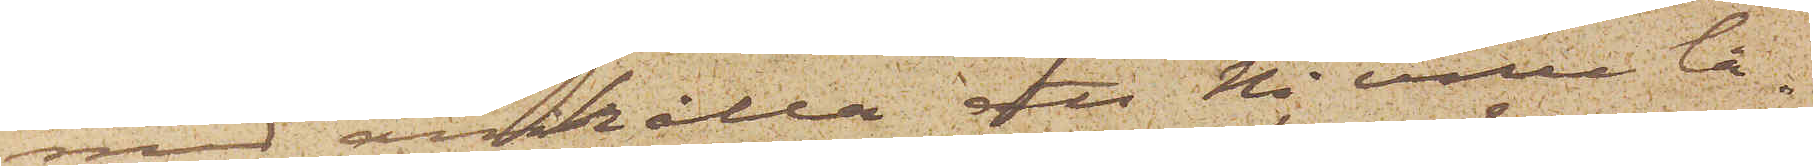med anhålla att Ni ville lå¬
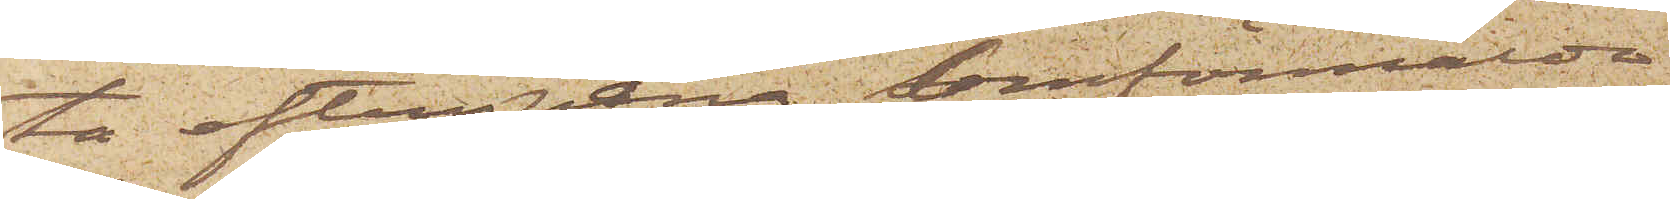ta efterspana Omförmälda
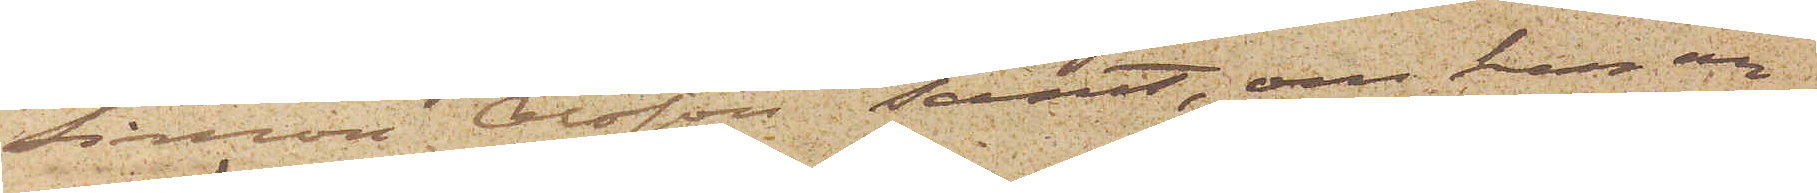Simon Olsson samt, om han an¬
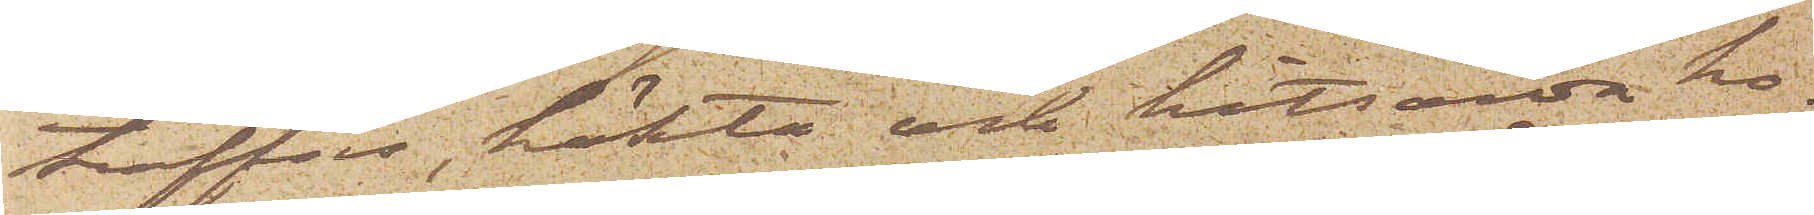träffas, häkta och hitsända ho¬
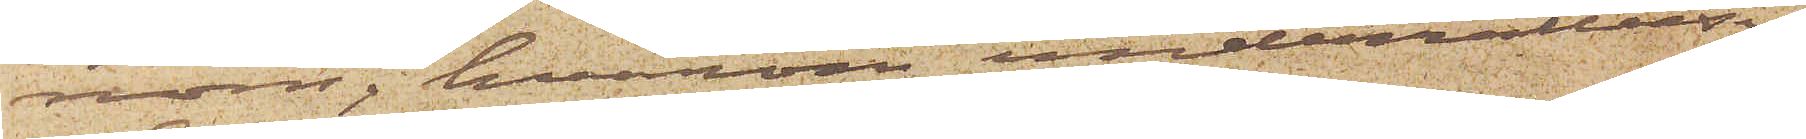nom, hvarom underrättelse
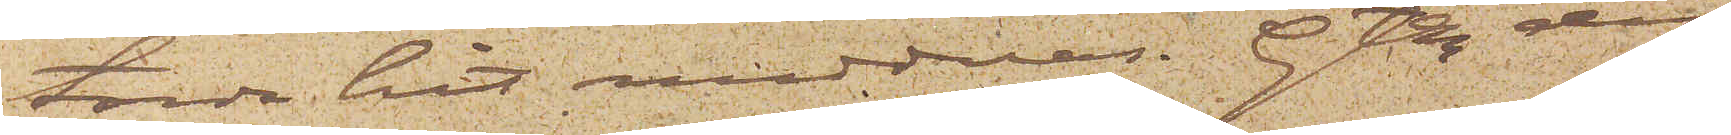torde hit meddelas. Gtbg den
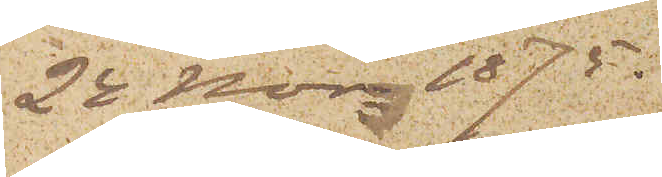24 Nov. 1875
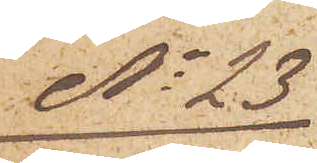No 23
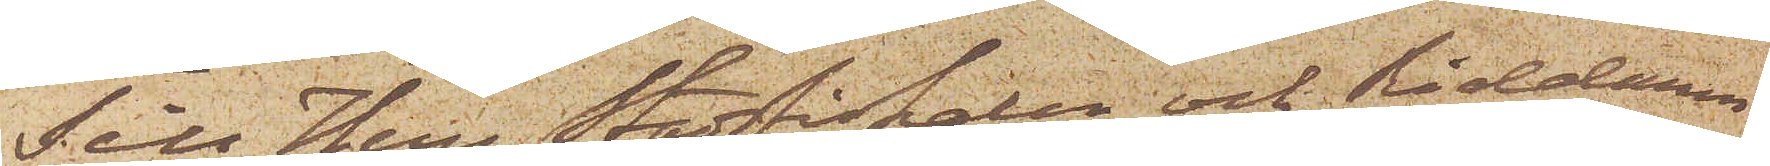Till Herr Stadsfiskalen och Riddaren
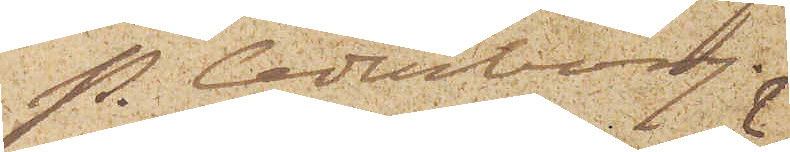P. Cederborg.
